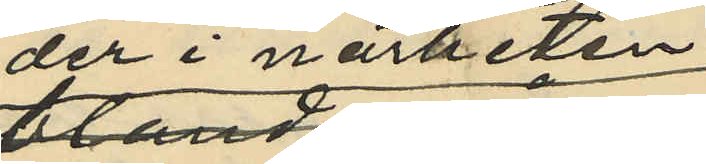där i närheten
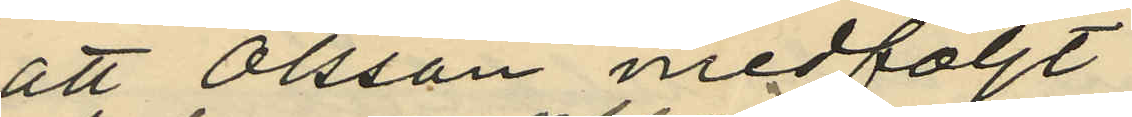att Olsson medföljt
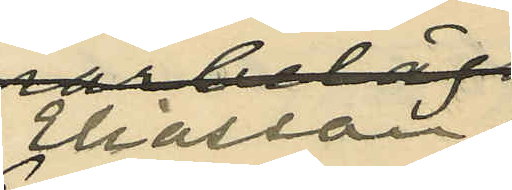Eliasson
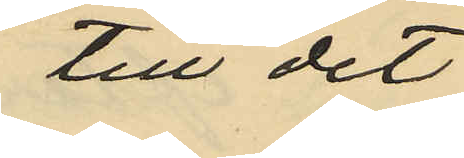till det
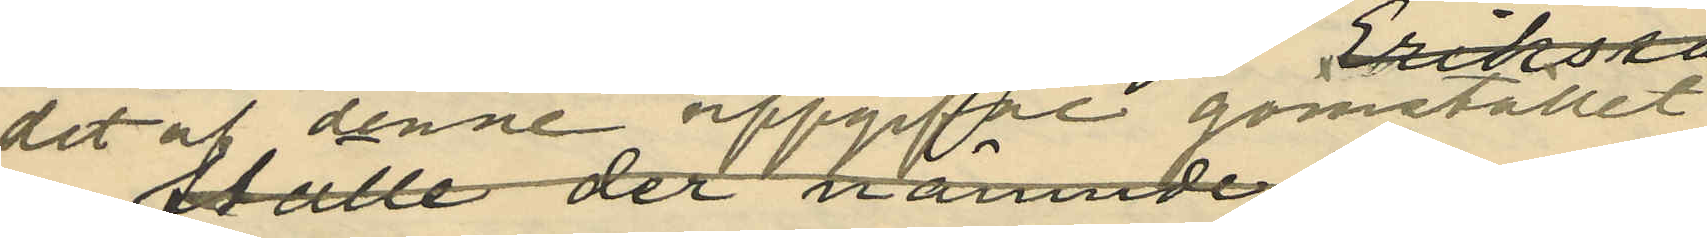det  af denne uppgivfne gömstället
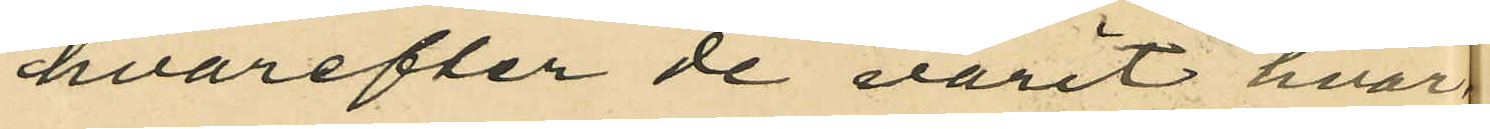hvarefter de varit hvar
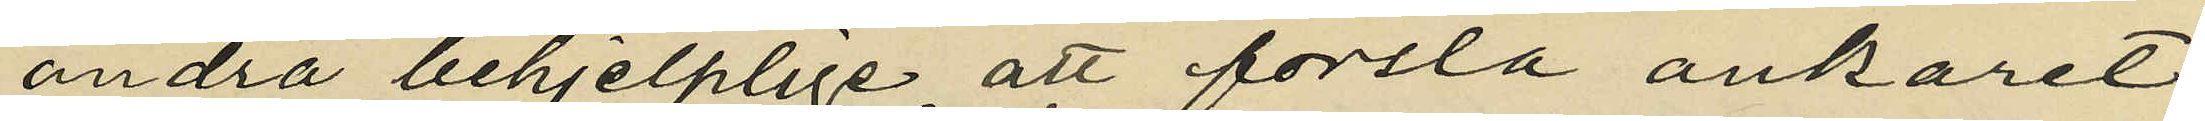andra behjelplige att forsla ankaret
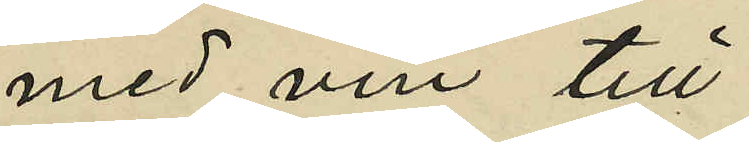med vin till
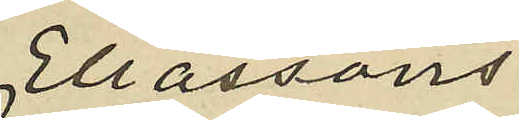Eliassons
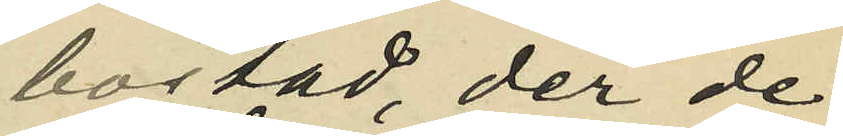bostad, der de
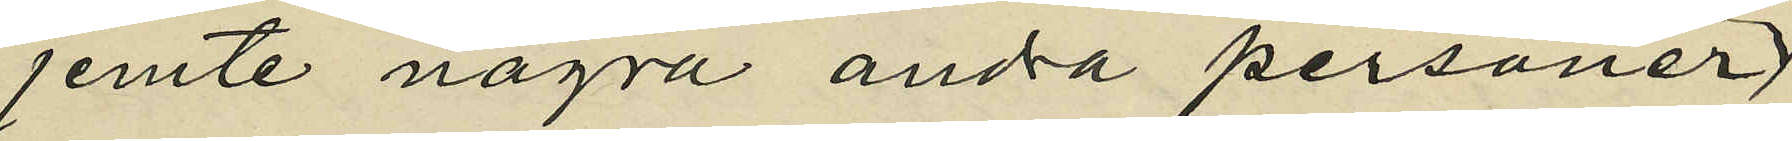jemte några andra personer
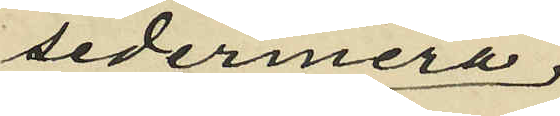sedermera
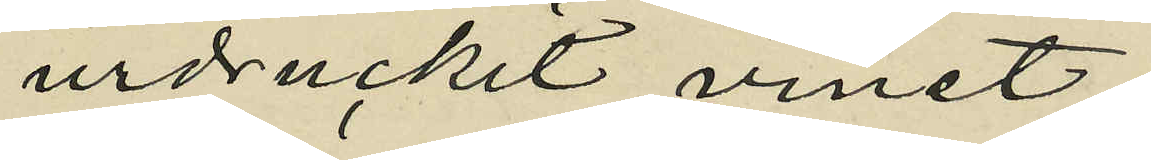urdruckit vinet;
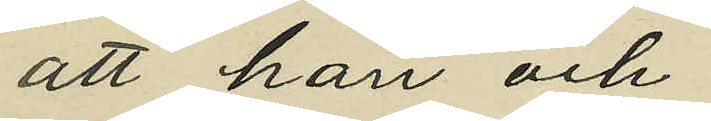att han och
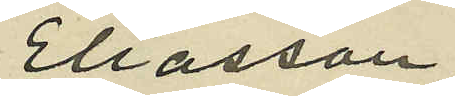Eliasson
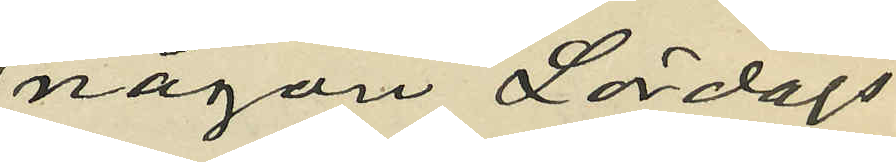någon Lördags
